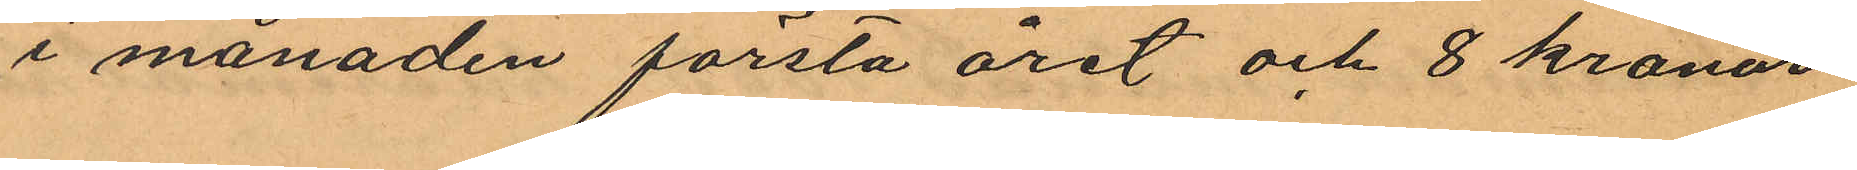i månaden första året och 8 kronor
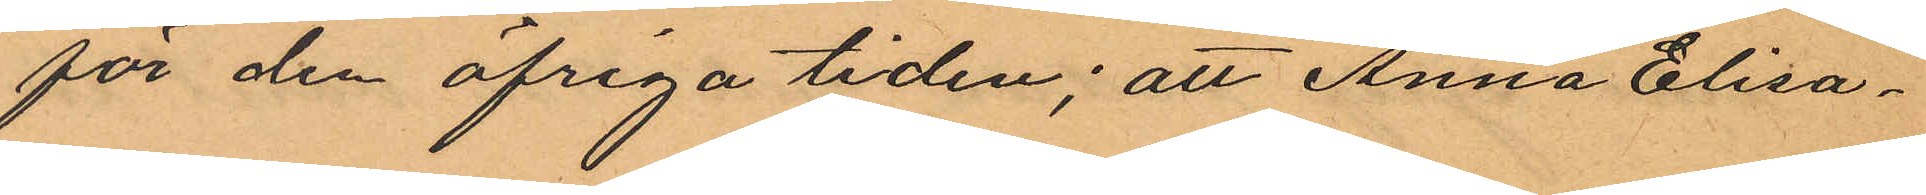för den öfriga tiden; att Anna Elisa¬
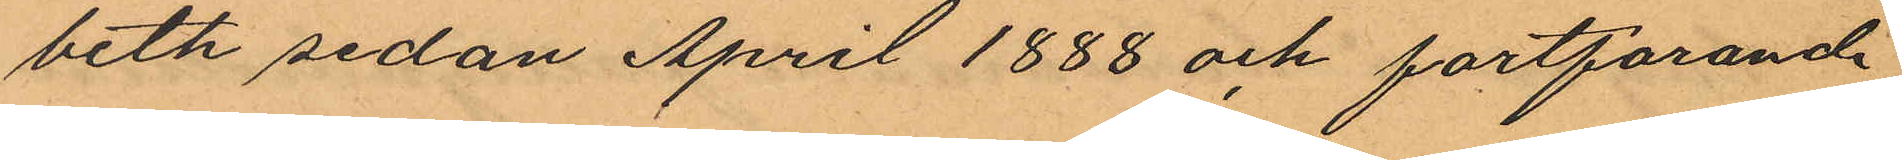beth sedan April 1888 och fortfarande
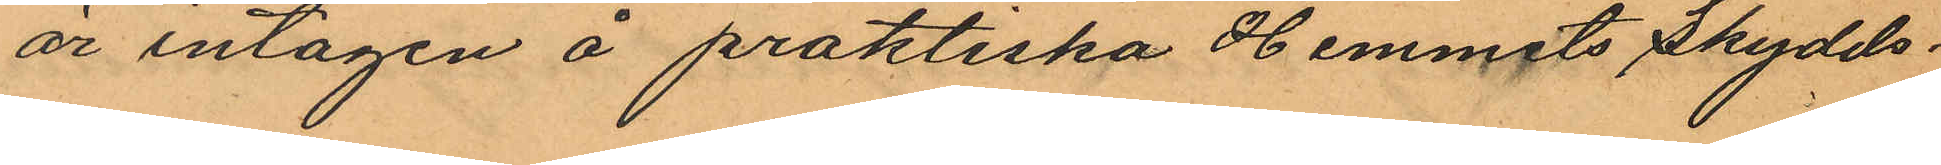är intagen å praktiska Hemmets Skydds¬
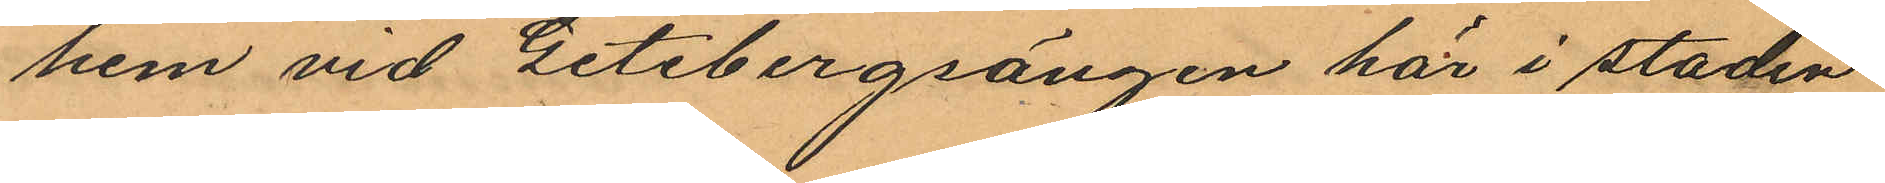hem vid Getebergsängen här i staden
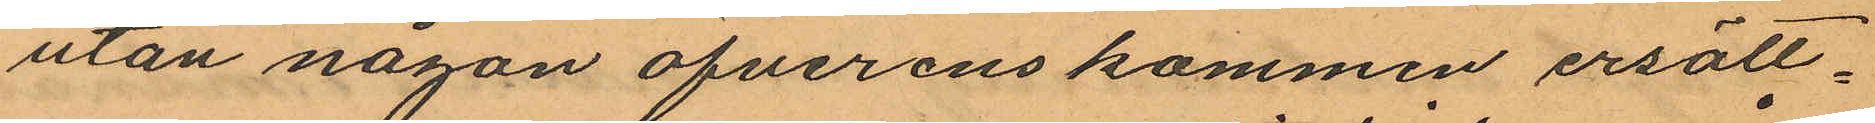utan någon öfverenskommen ersätt¬
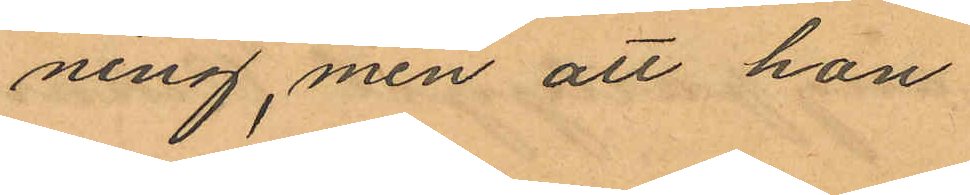ning, men att hon
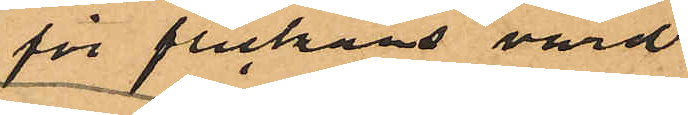för flickans vård
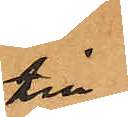till
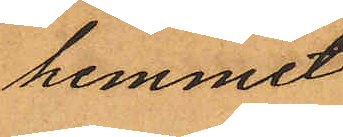hemmet
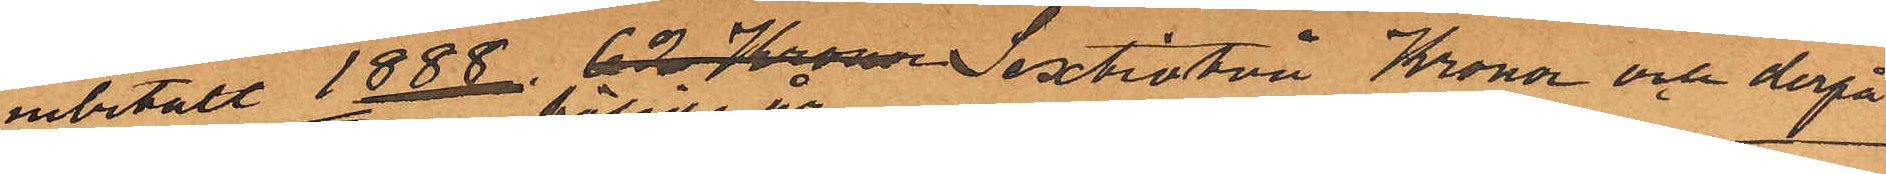inbetalt 1888 62 Kronor Sextiotvå Kronor och derpå
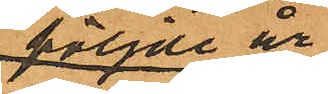följde år
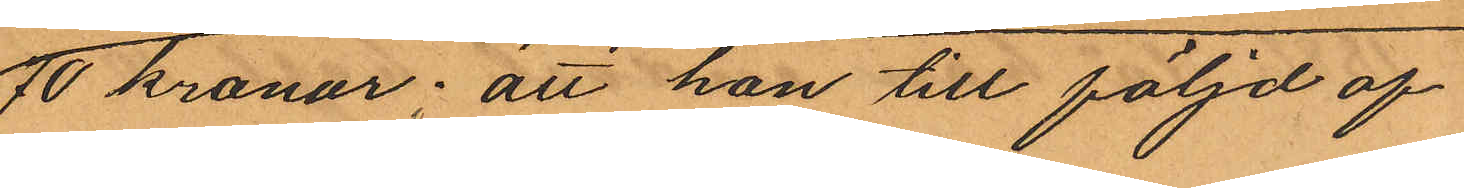70 Kronor; att hon till följd af
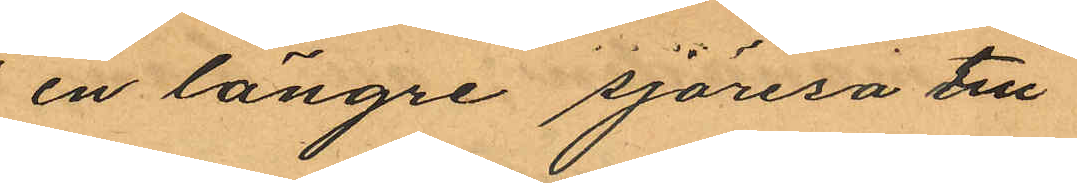en längre sjöresa till
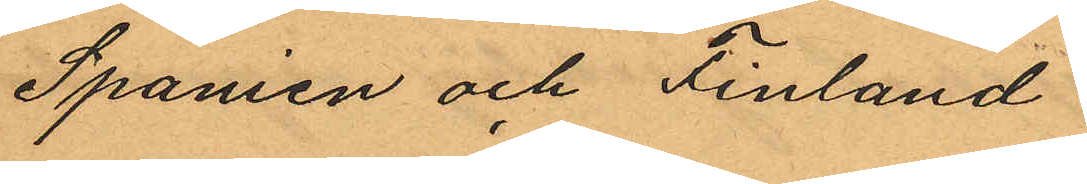Spanien och Finland
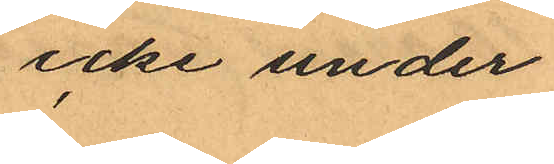icke under
